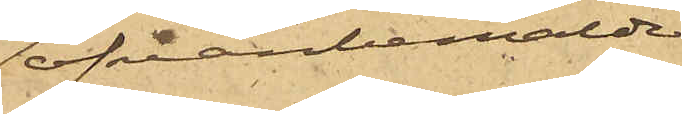ofvanbemälde
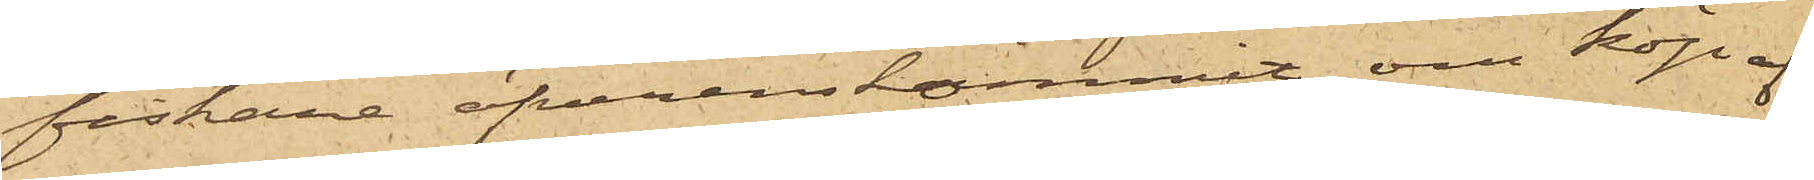fiskarne öfverenskommit om köp af
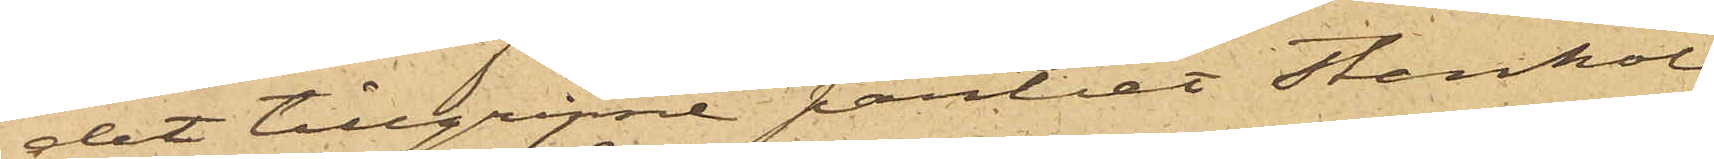det tillgripne partiet stenkol
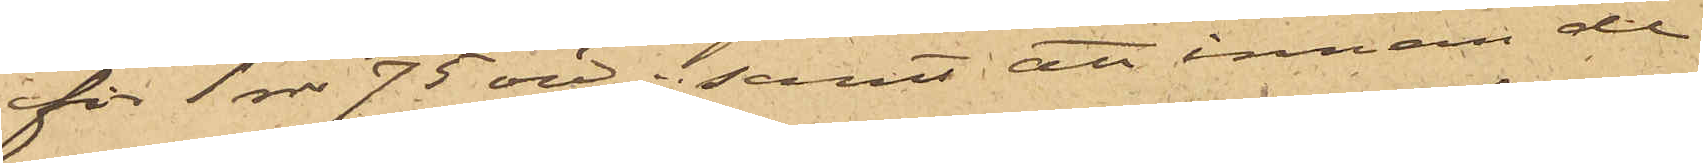för 1 rdr 75 öre; samt att innan de
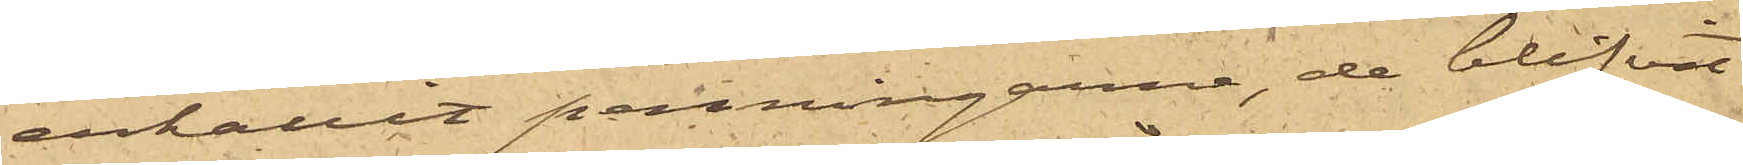erhållit penningarne, de blifvit
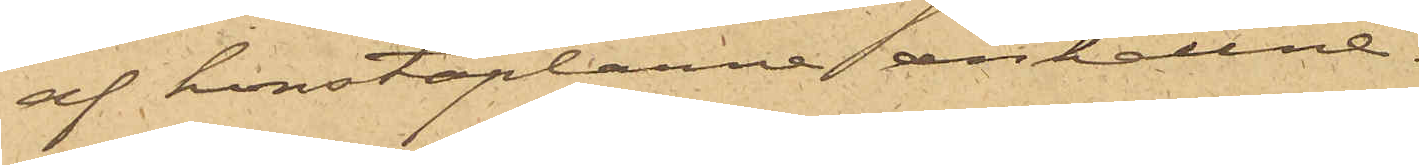af konstaplarne anhållne.
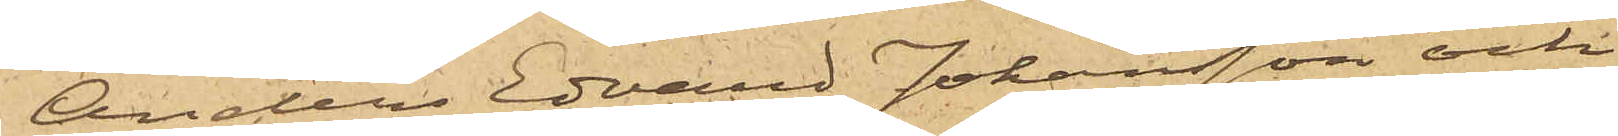Anders Edvard Johansson och
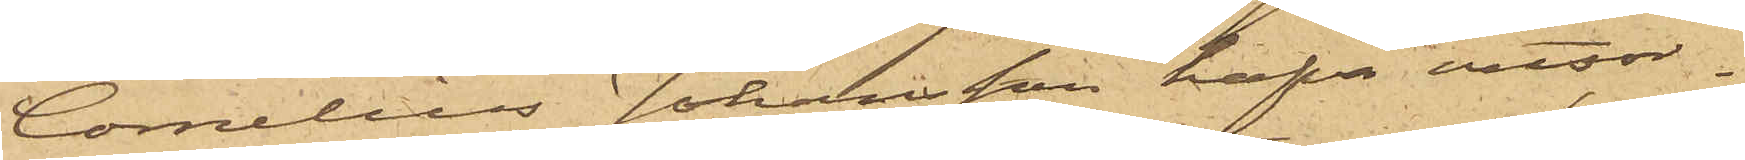Cornelius Johansson hafva vitsor¬
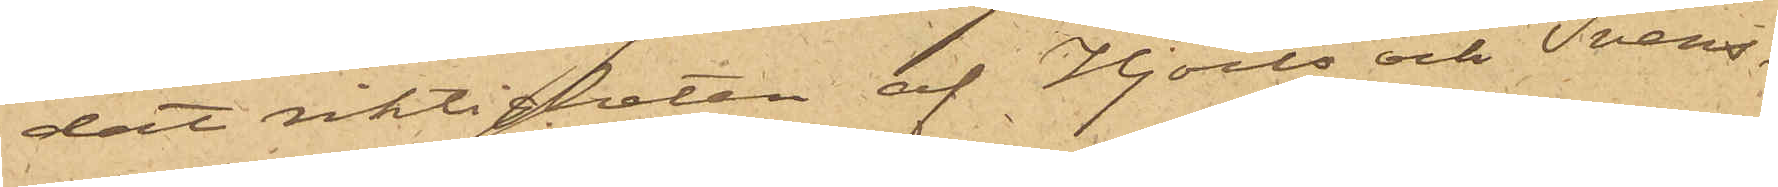dat riktigheten af Hjorts och Svens¬
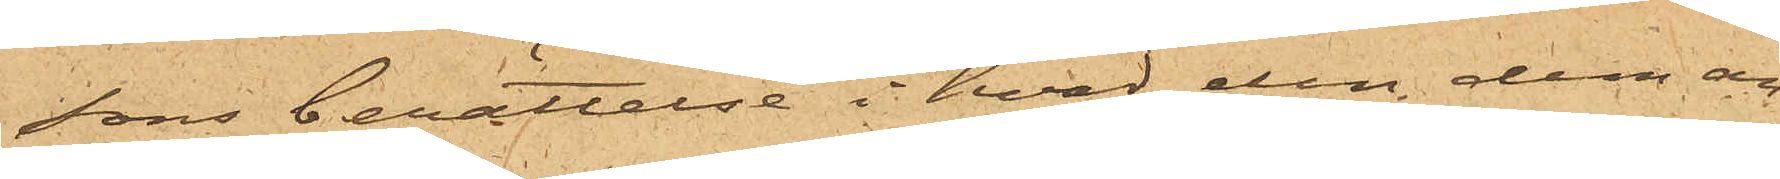sons berättelse i hvad den dem an¬
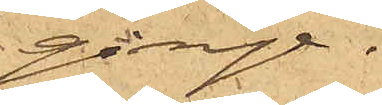ginge.
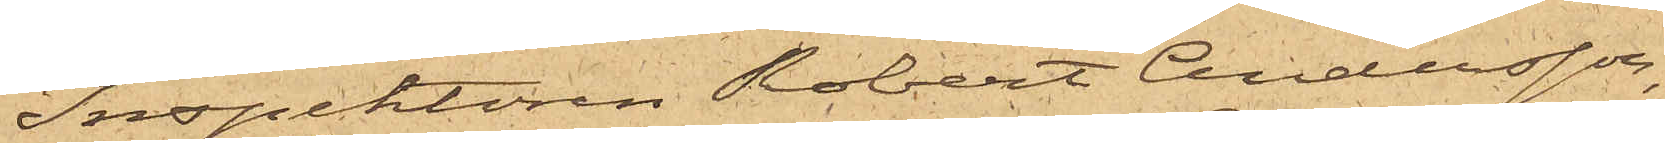Inspektoren Robert Andersson,
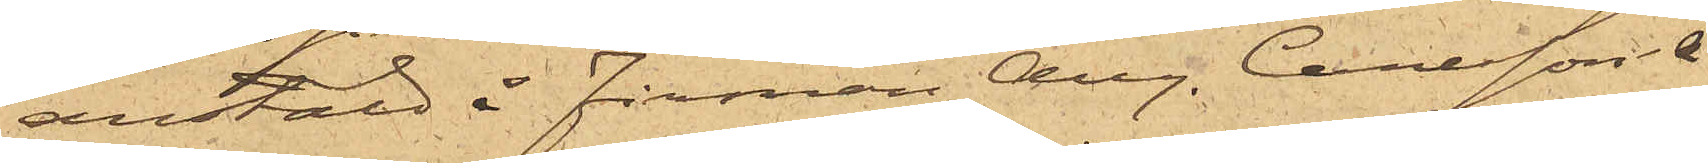anstäld å firman Aug. Carlsson &
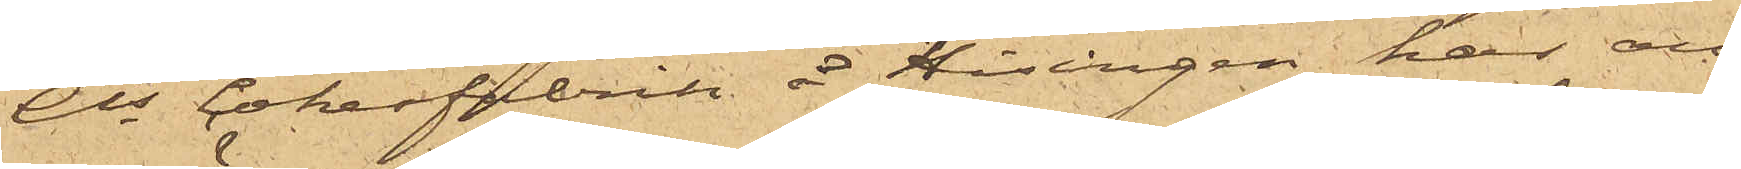Cos Cokesfabrik å Hisingen har an¬
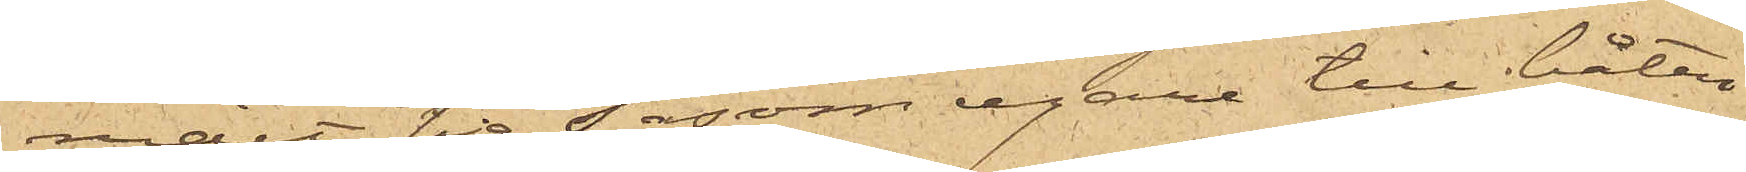mält sig såsom egare till båten.
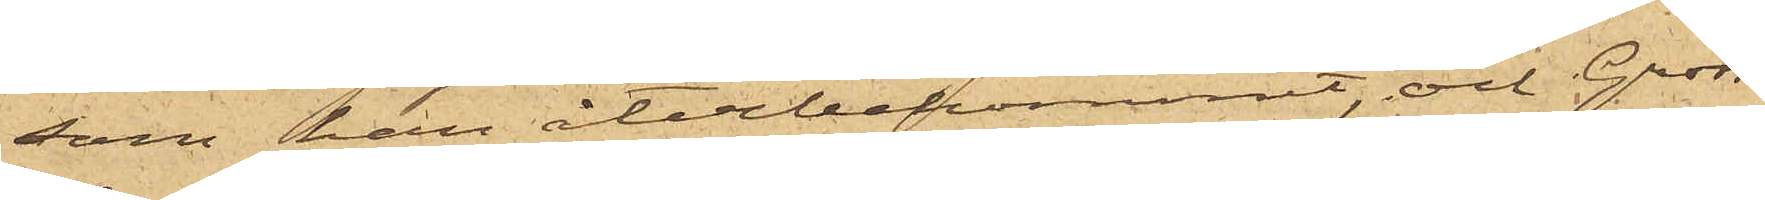som han återbekommit, och Gross¬
